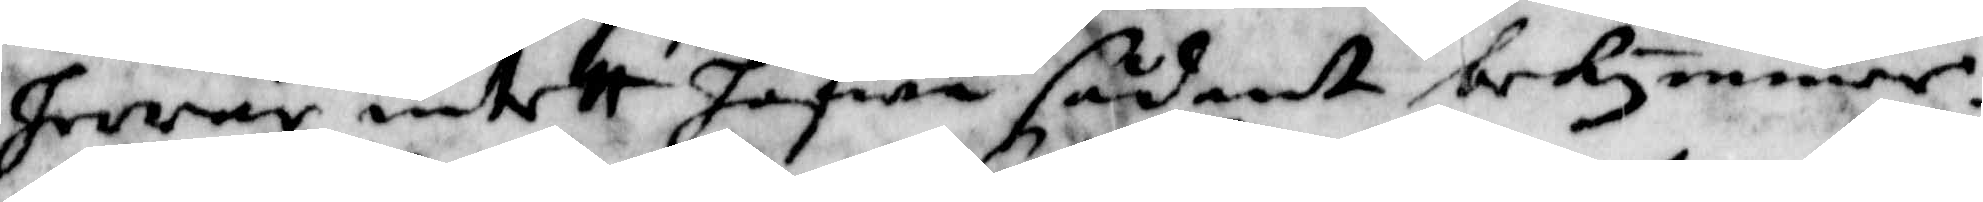herar intett hafwa sådant bekymmer.
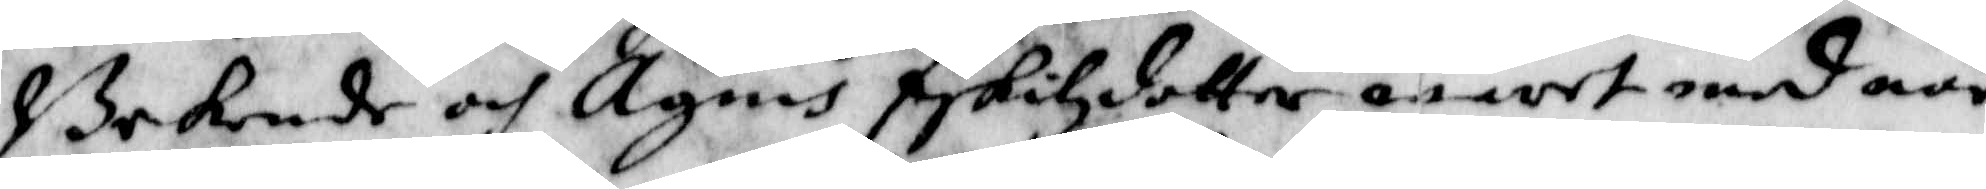Bekende och Agnis Eskilzdotter wart med när
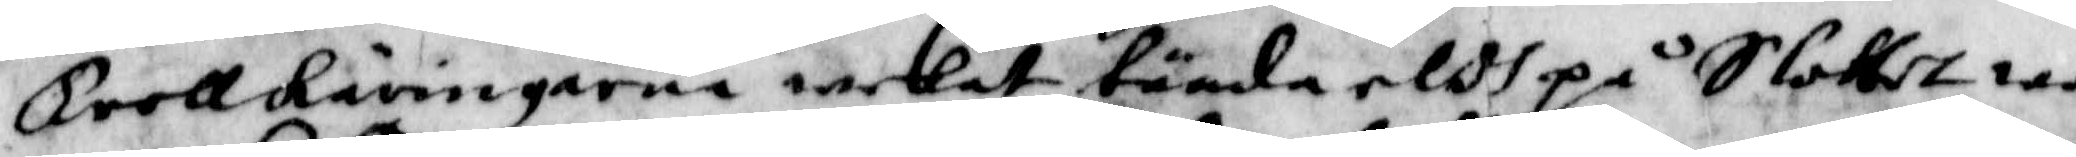trollkäringarna welat tända eldh på Slottet wa¬
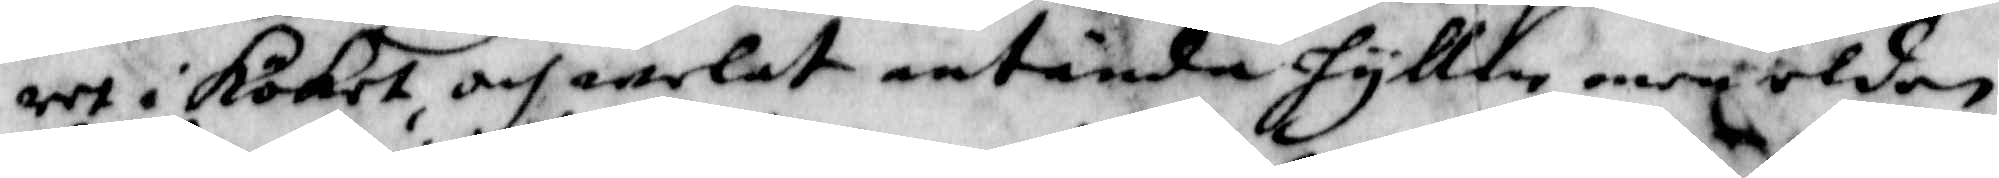ret i köket och welat antända hyllen men elden
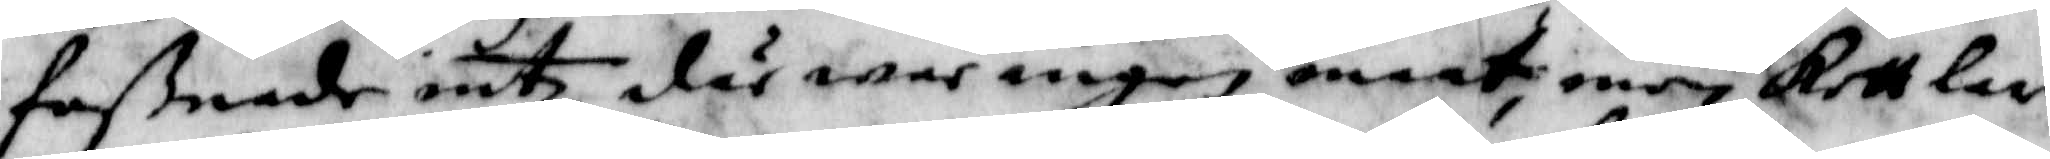faßnade intz, där war ingen maat, men Kettlar
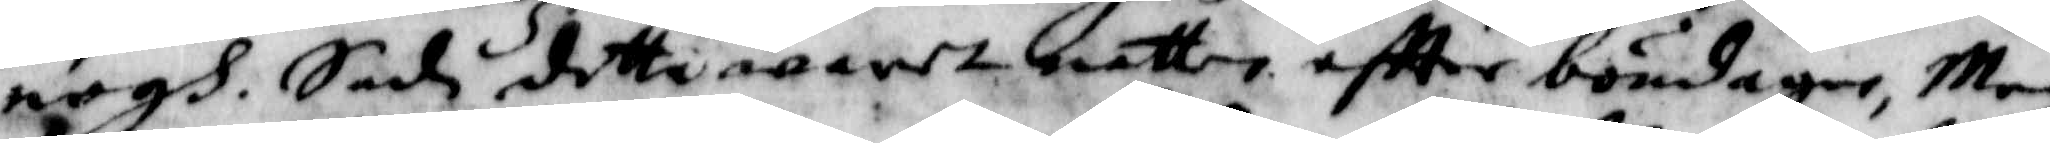nogh. Sade detta waret natten eftter böndagen, Men
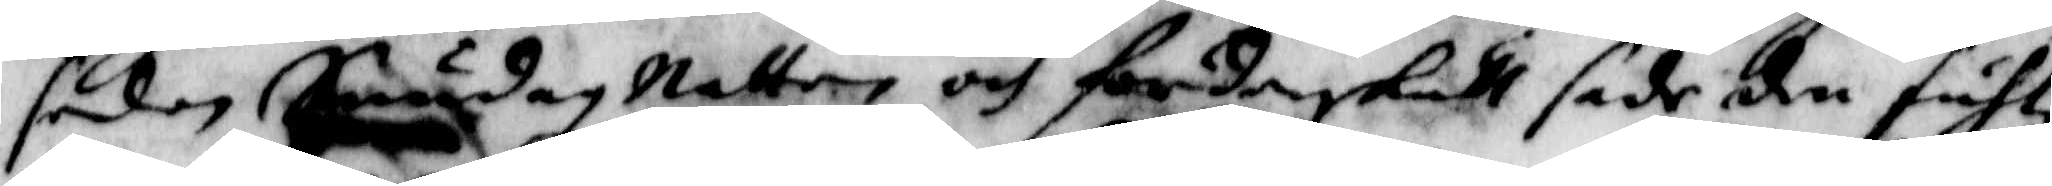sedan Sundag Natten och för denskull sade den fuhle
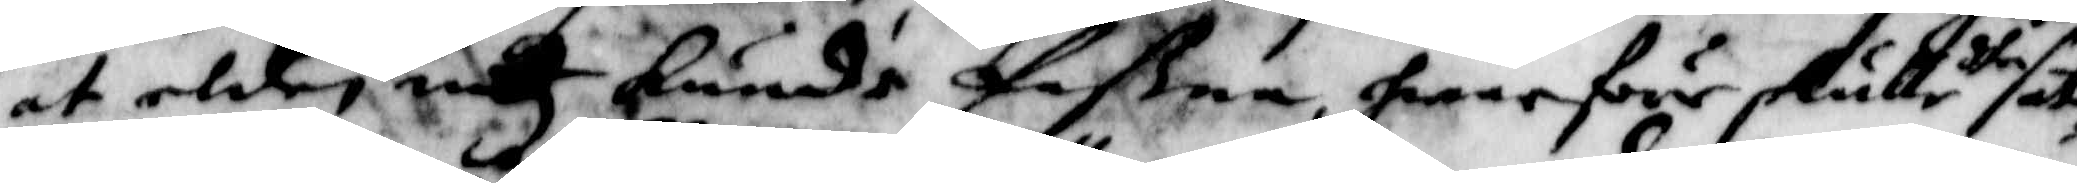at elden intz kunde faßna, hwarföre skulle dhe sät¬
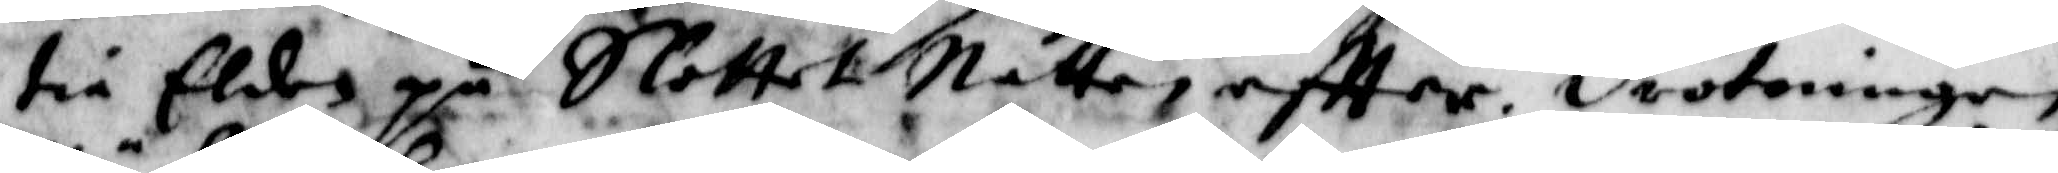tia Elden på Slottet Natten eftter, drotningen
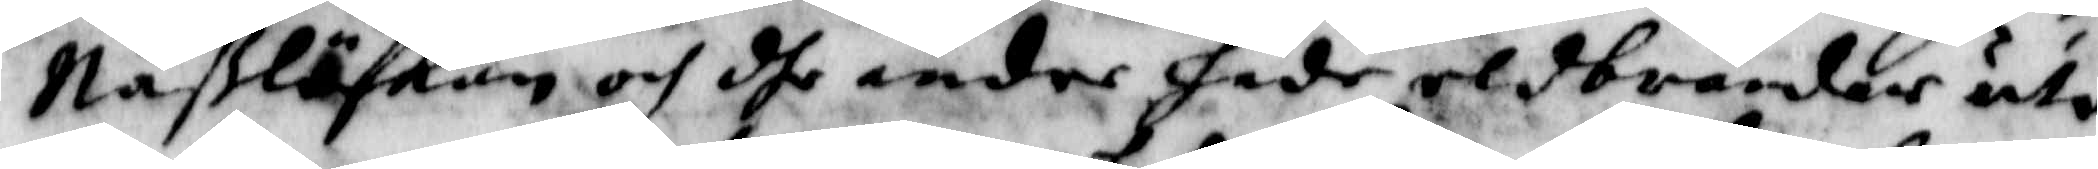Näßlöskan och dhe andre hade eldbrender uti
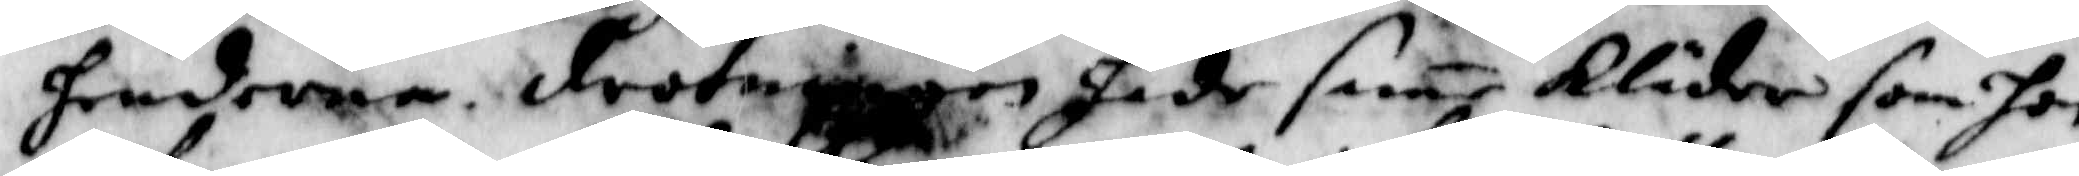henderna, drotningen hade same Kläder som hon
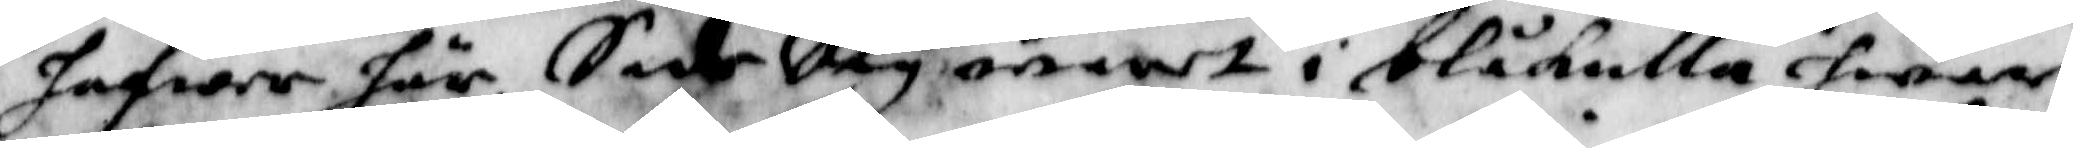hafwer här, Sade Sig waret i blåkulla hwar
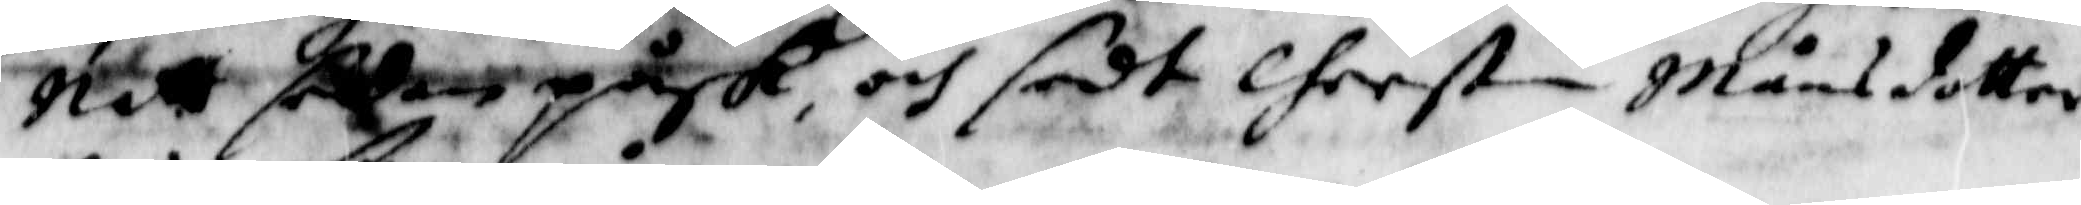Natt sedan påsk, och sedt Cherstin Månsdotter
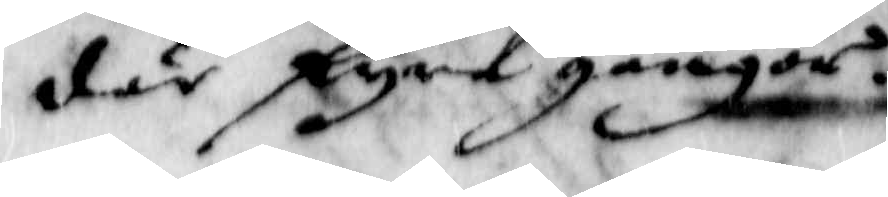där fyra gånger.
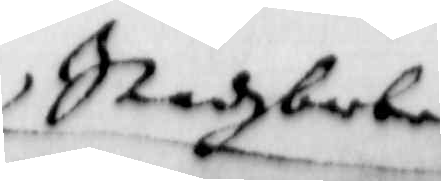Stadzbarberen
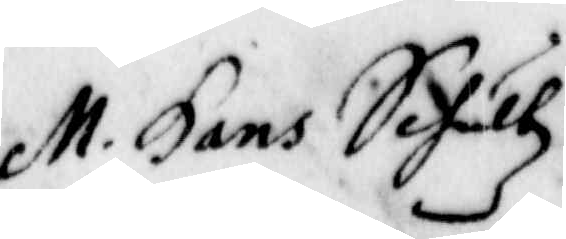M. Hans Sehultz
